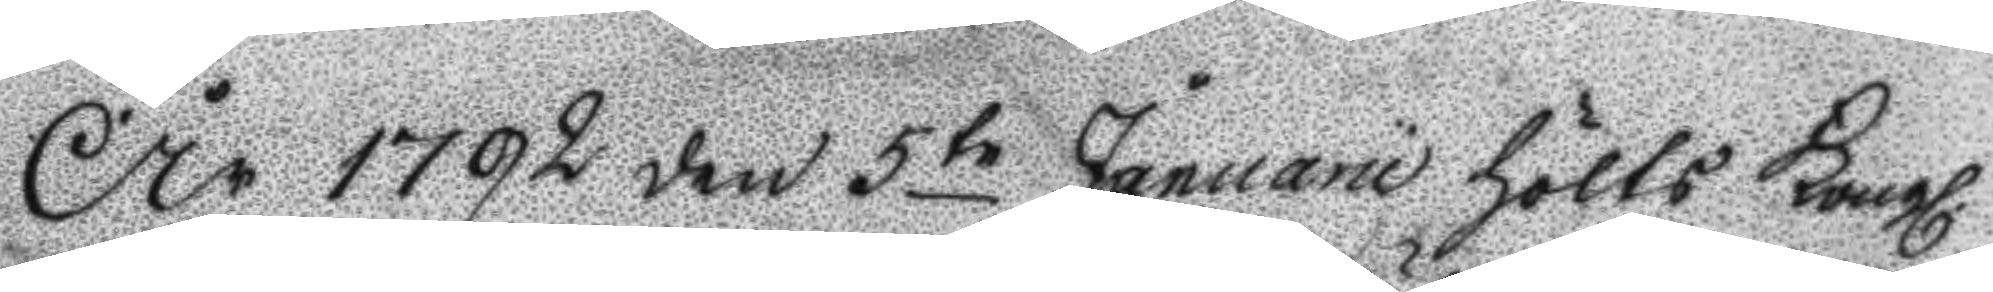År 1792 den 5te Januarii höllts Kongl.
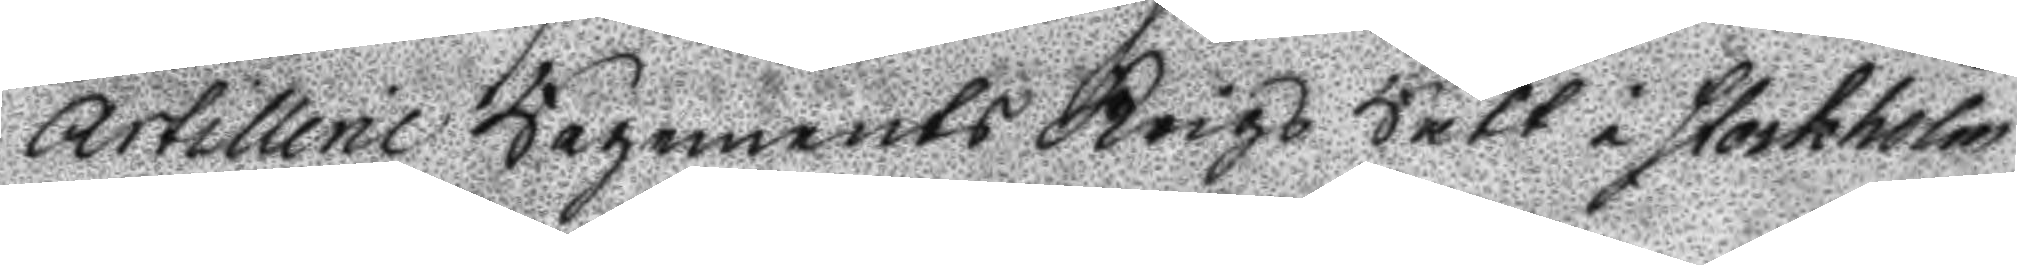Artillerie Regements Krigz Rätt i Stockholm
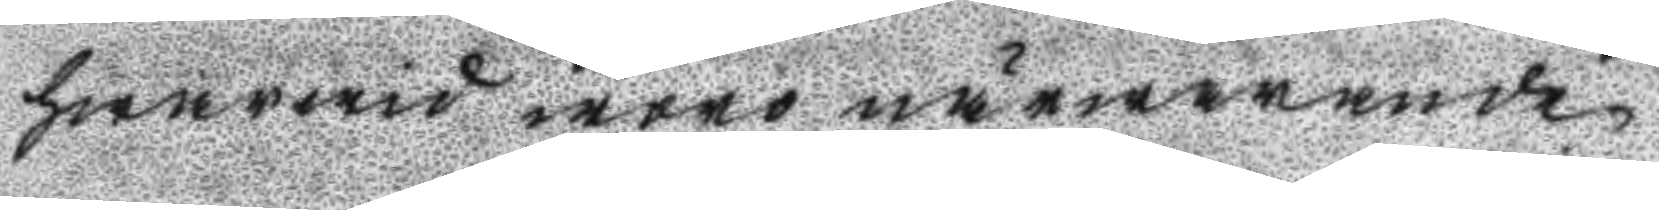hwarwid woro närwarande
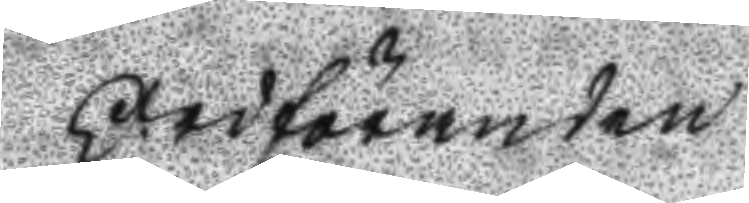Ordföranden
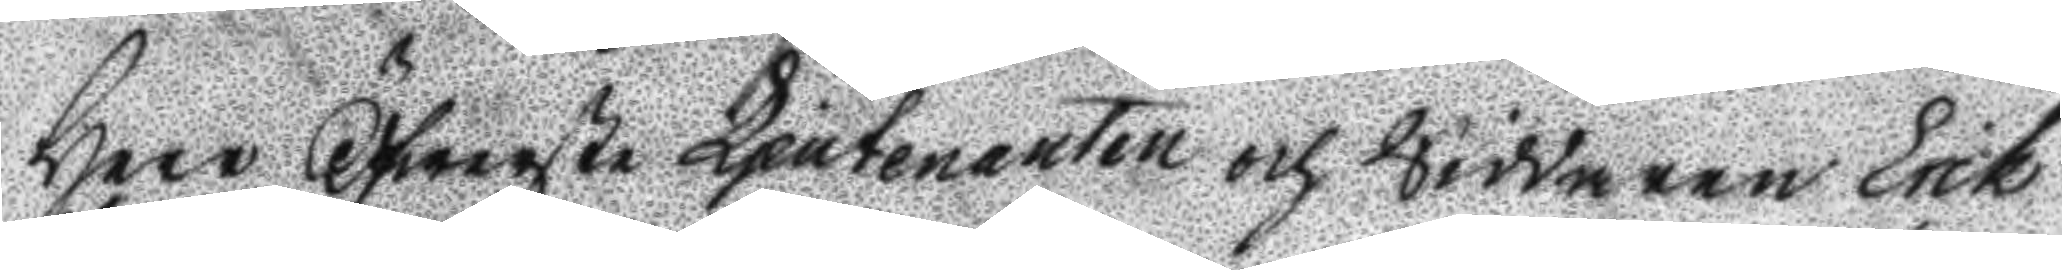Herr Öfwerst Ljeutenanten och Riddaren Erik
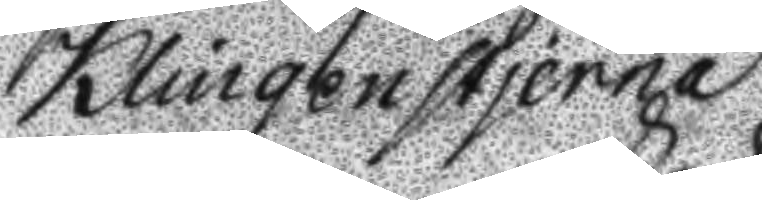Klingenstjerna
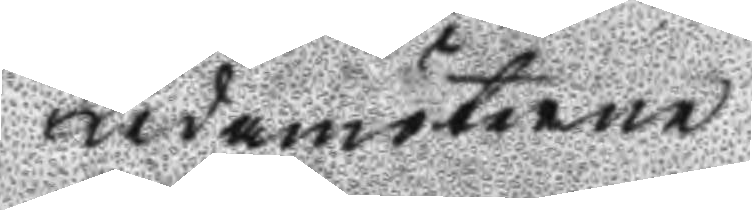Ledamöterne
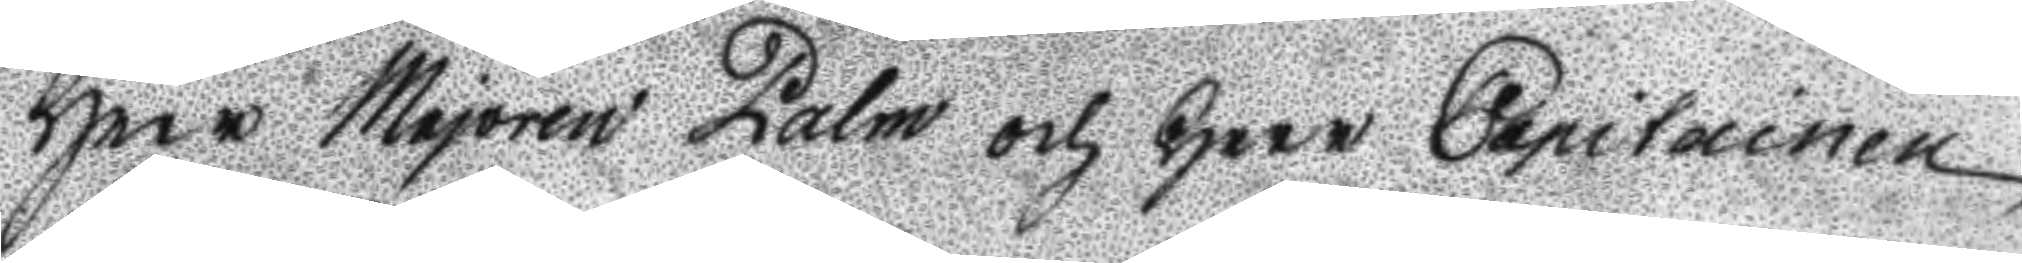Herr Majoren Palm och Herr Capitainen
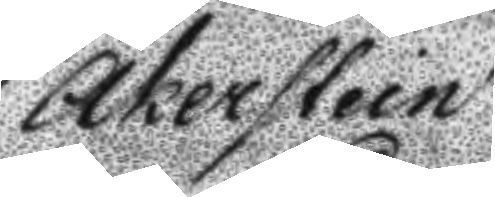Åkerstein
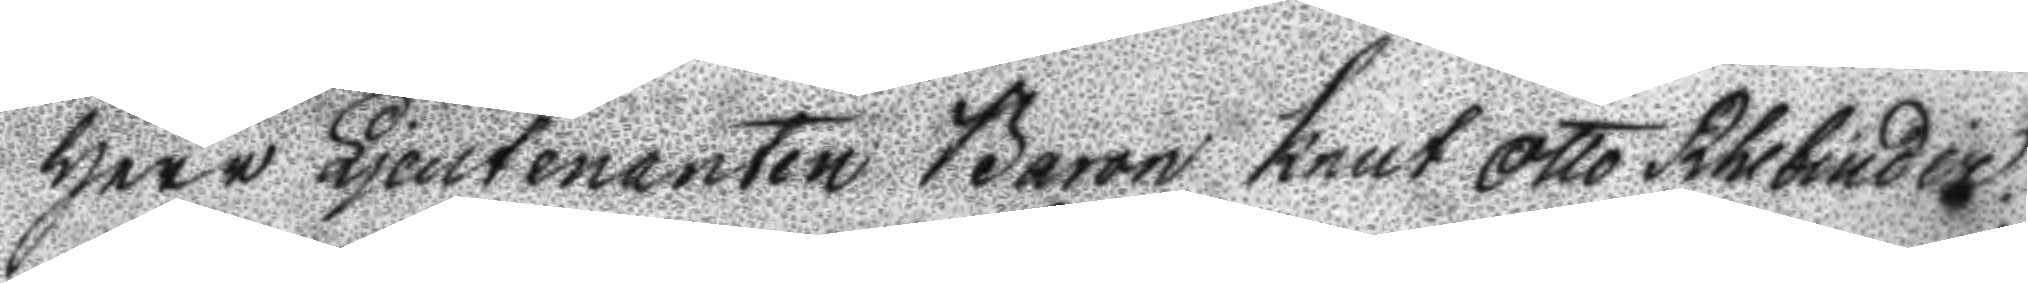Herr Ljeutnanten Baron knut Otto Rhebinder
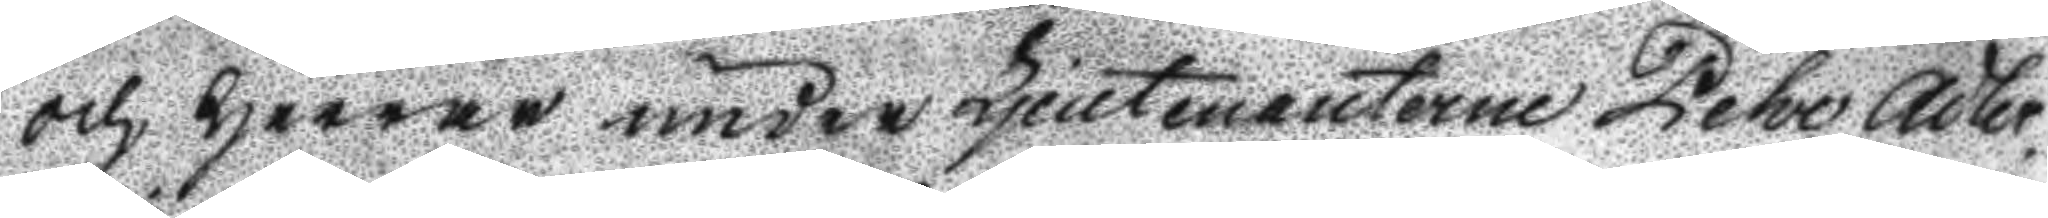och Herrar under Ljeutenanterne Pehr Åker¬
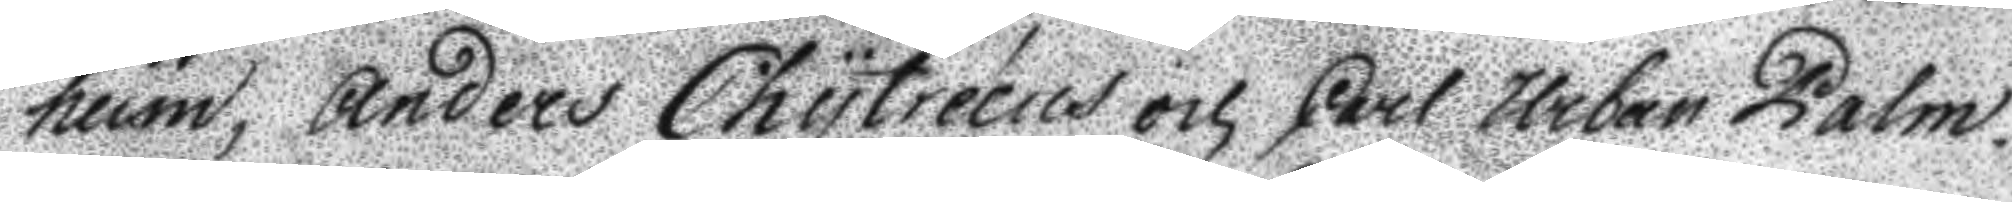heim, Anders Chytreeus och Carl Urban Palm¬
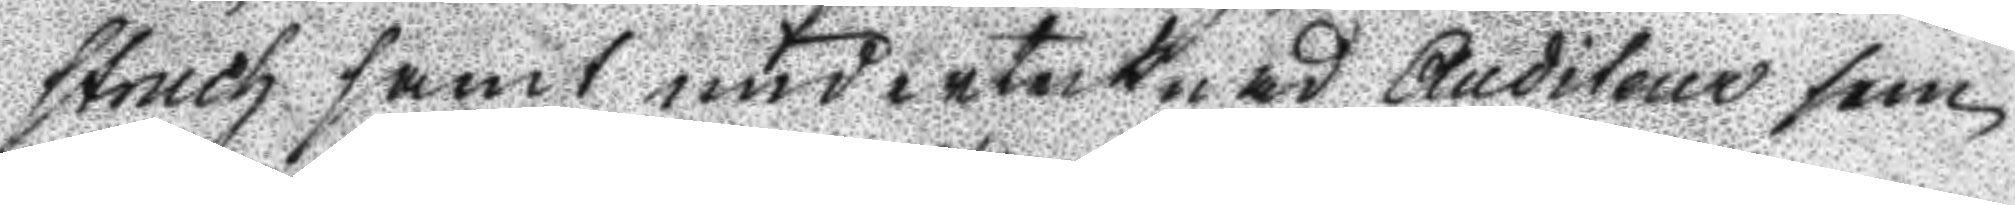struch samt underteknad Auditeur som
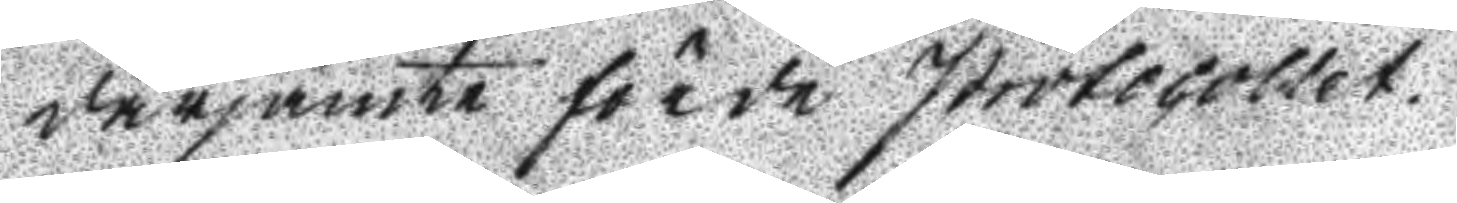därjämte förde protocollet.
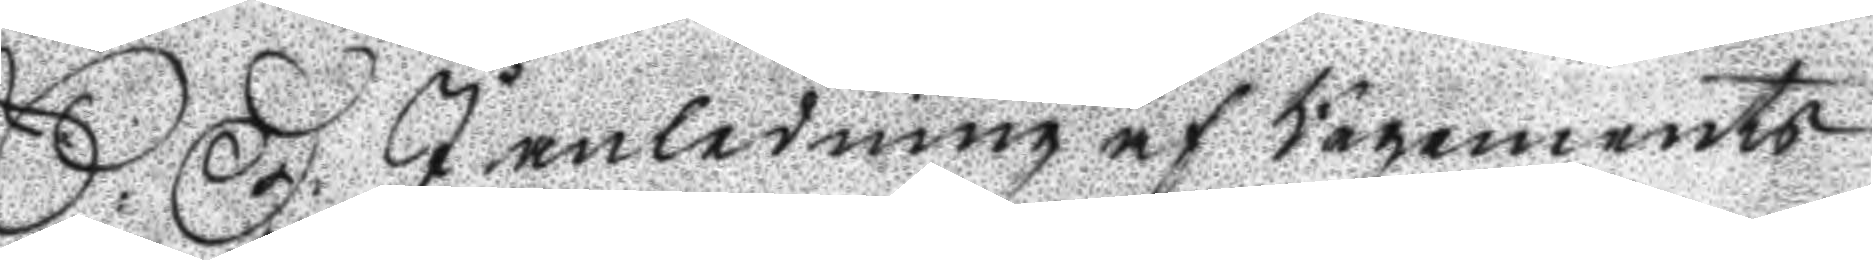S: D: I anledning af Regements
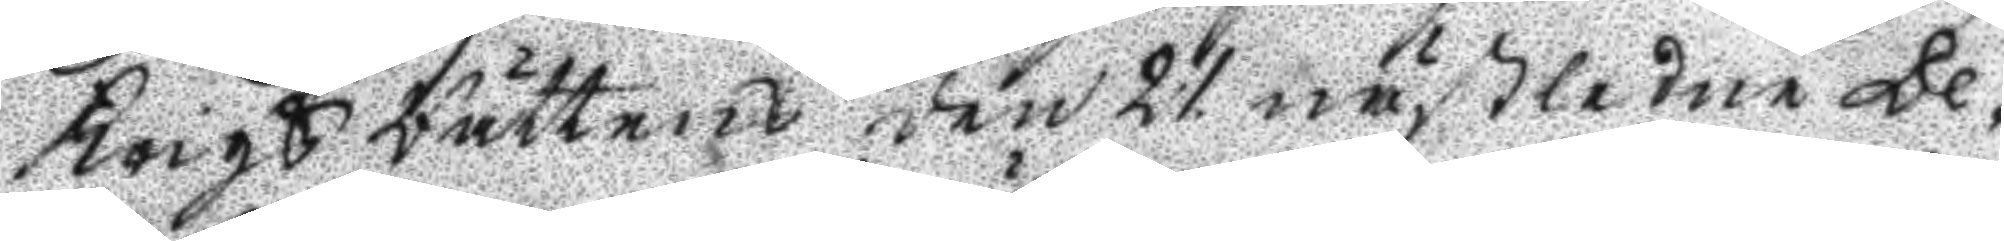krigs Rättens den 21 nästlidne De¬
